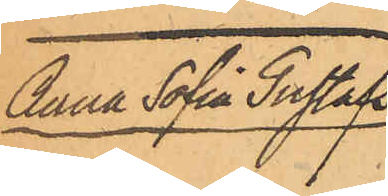Anna Sofia Gustafs¬
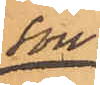son.
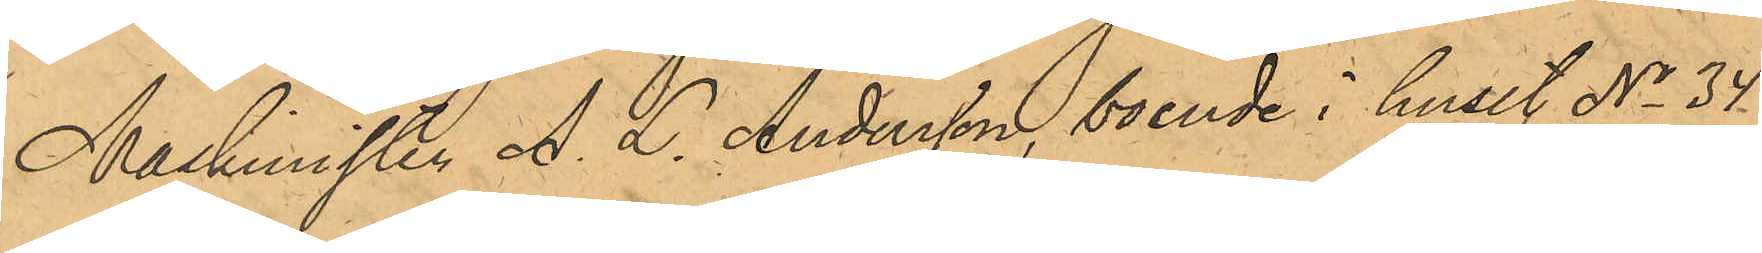Maskinisten A. L. Andersson, boende i huset No 34
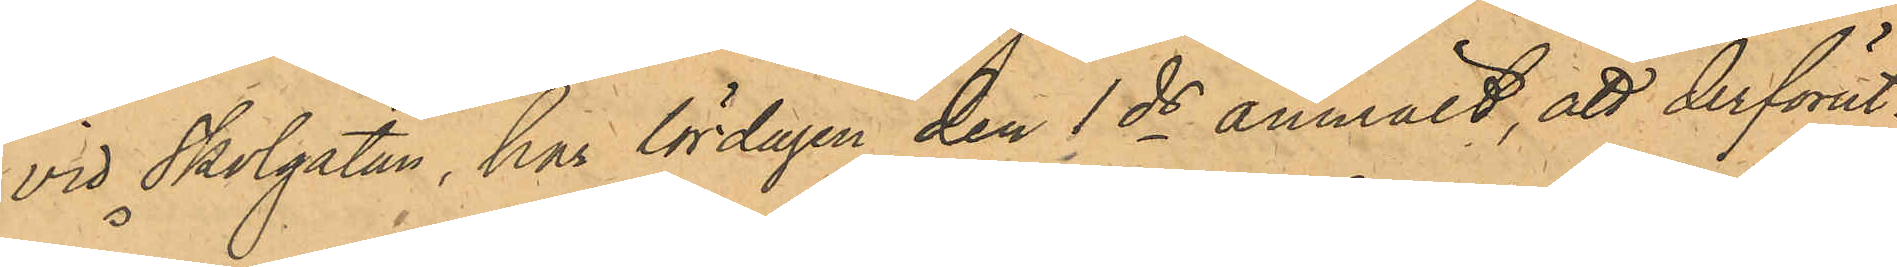vid Skolgatan, har lördagen den 1 ds anmält, att derförut¬
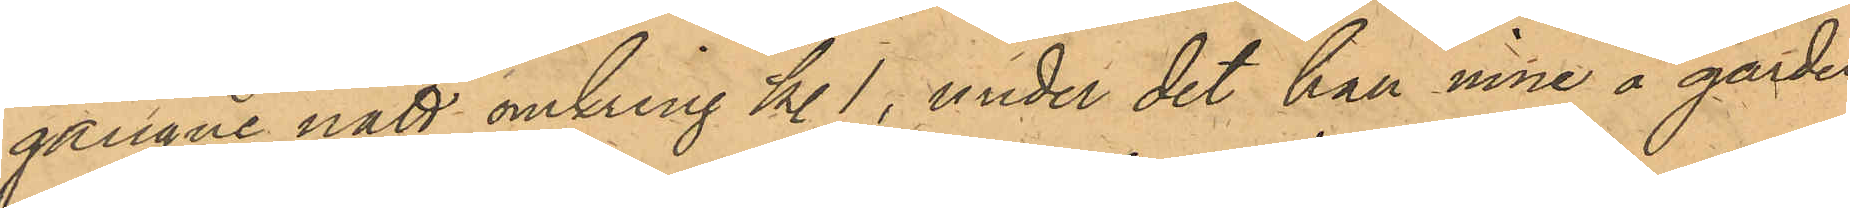gångne natt omkring kl. 1, under det han inne å gården
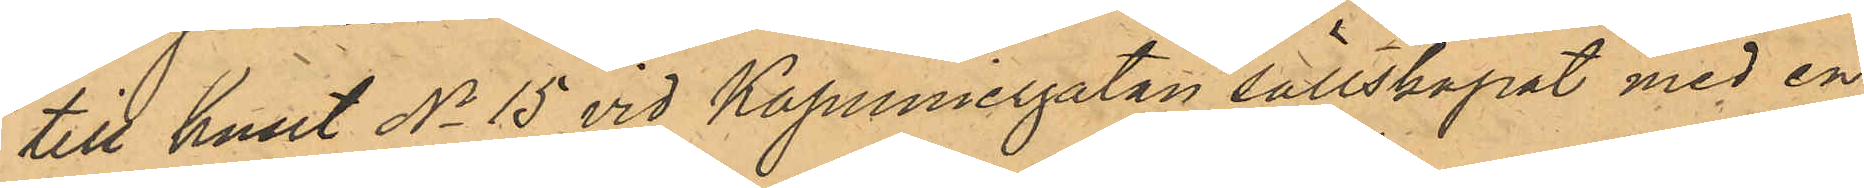till huset No 15 vid Kapuniergatan sällskapat med en
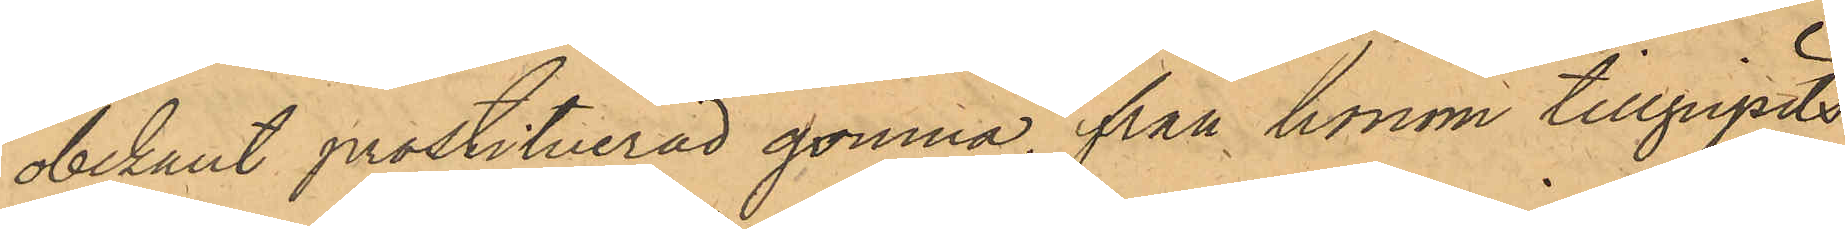obekant prostituerad qvinna, från honom tillgripits
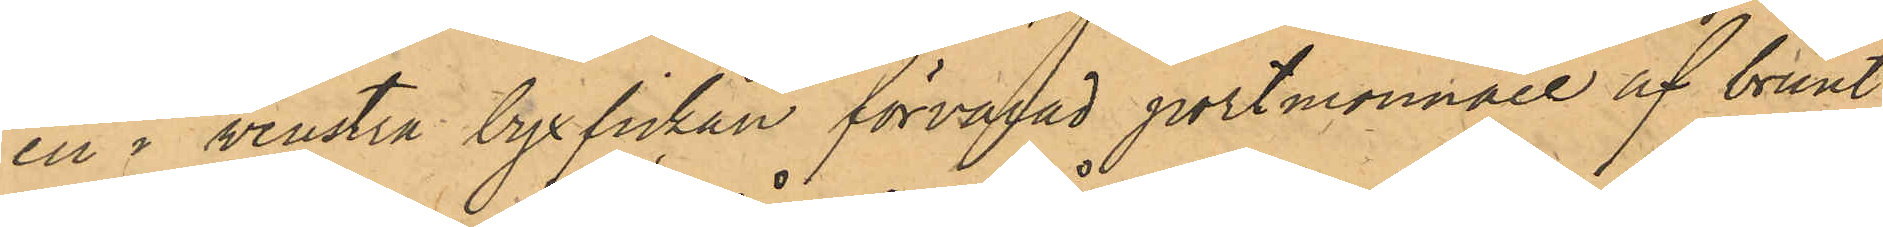en i venstra byxfickan förvarad portmonnaie af brunt
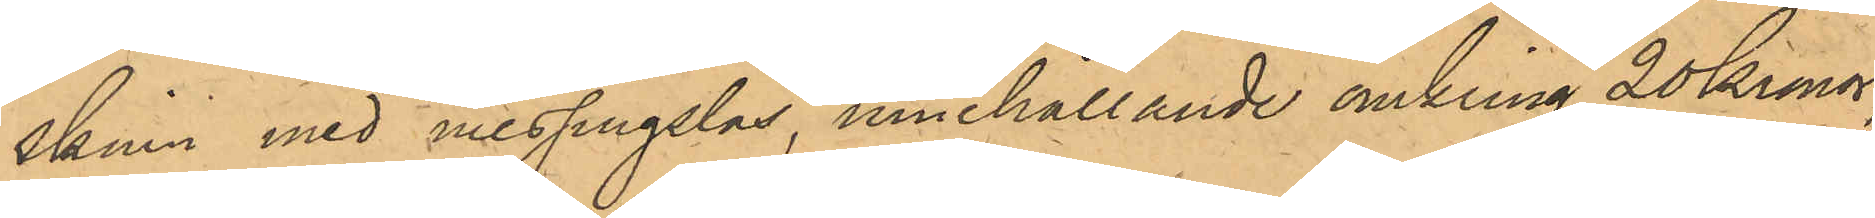skinn med messingslås, innehållande omkring 20 Kronor,
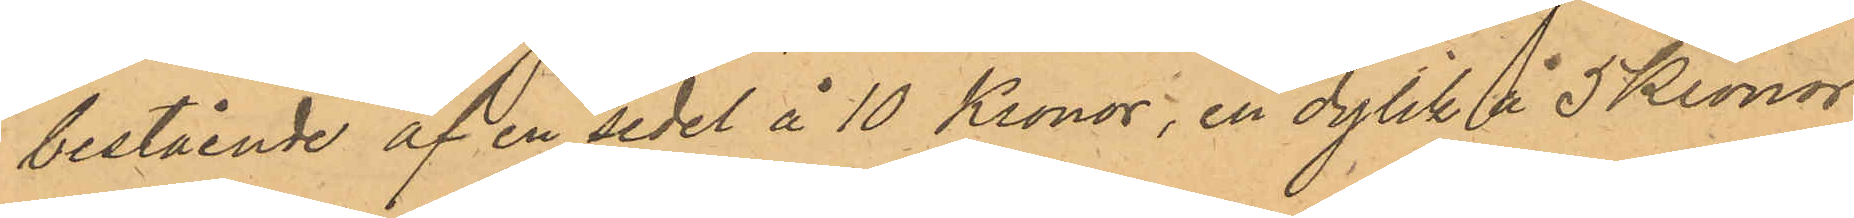bestående af en sedel å 10 Kronor, en dylik å 5 Kronor
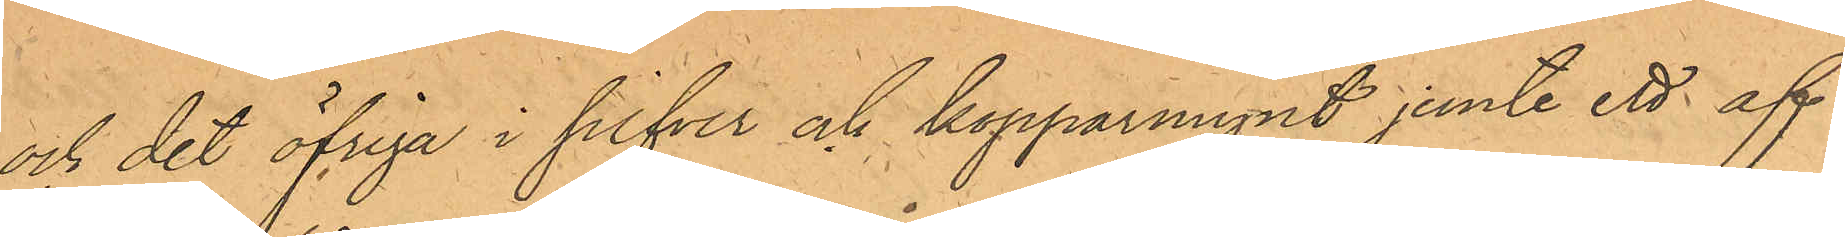och det öfriga i silfver och kopparmynt jemte ett af
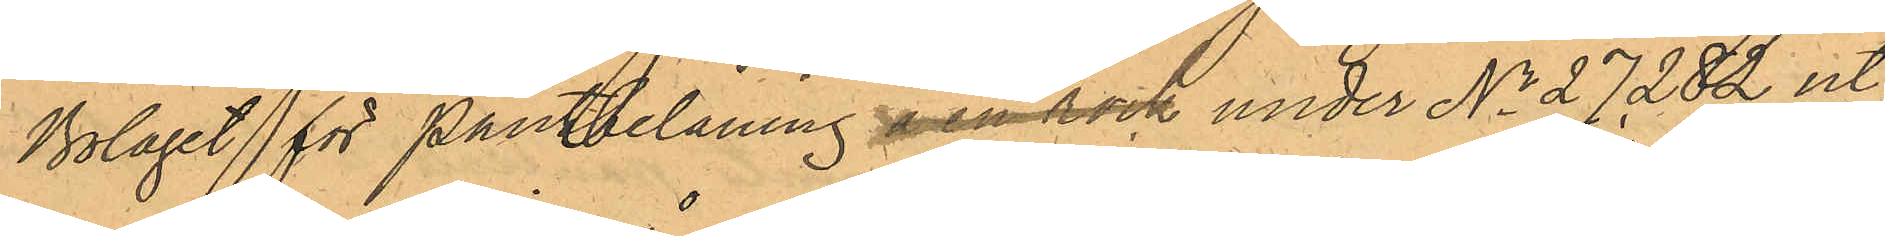Bolaget för Pantbelåning å en rock under No 27282 ut¬
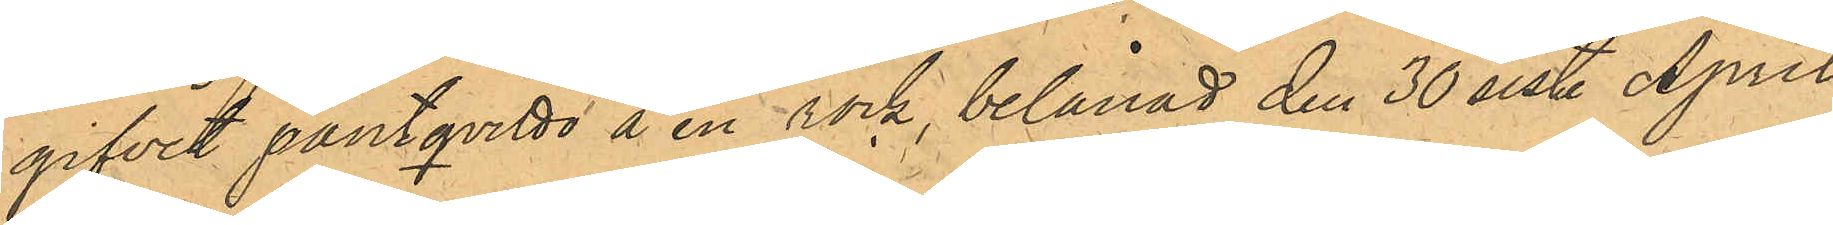gifvit pantqvitto å en rock, belånad den 30 sist. April
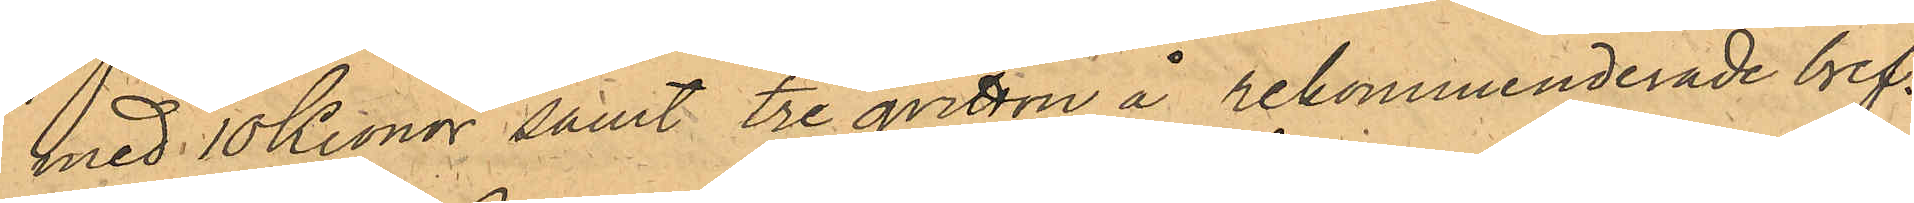med 10 Kronor samt tre qvitton å rekommenderade bref.
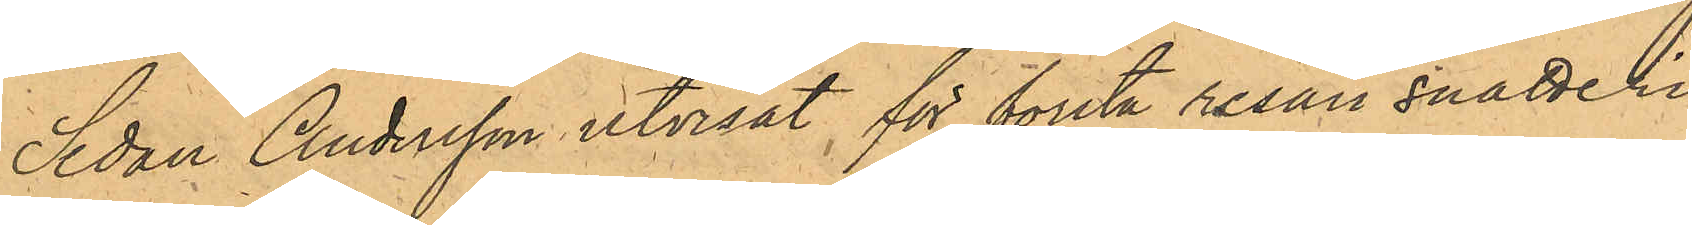Sedan Andersson utvisat för första resan snatteri
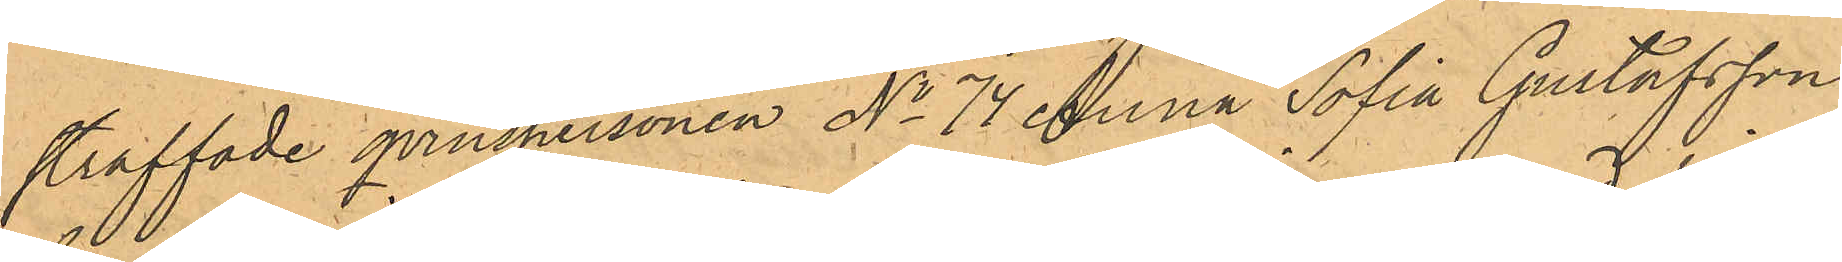straffade qvinspersonen No 74 Anna Sofia Gustafsson
